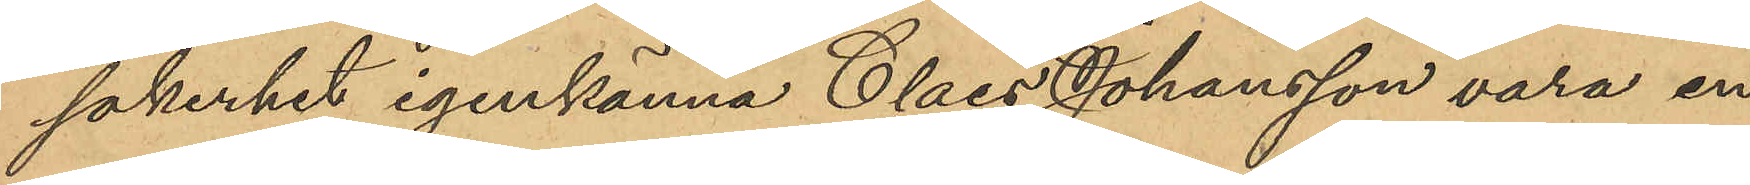säkerhet igenkänna Claes Johansson vara en
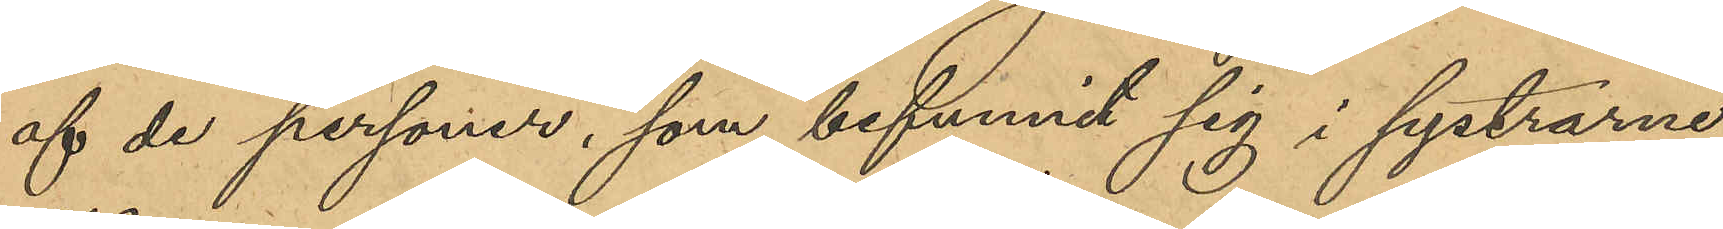af de personer, som befunnit sig i systrarna
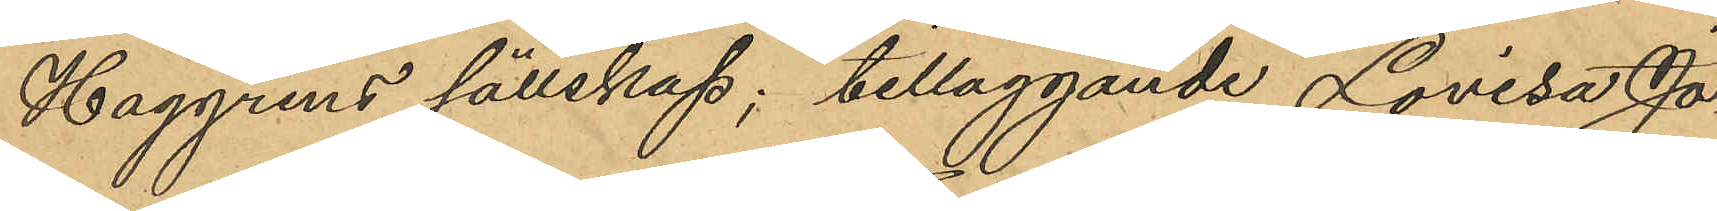Haggrens sällskap, tilläggande Lovisa Jo¬
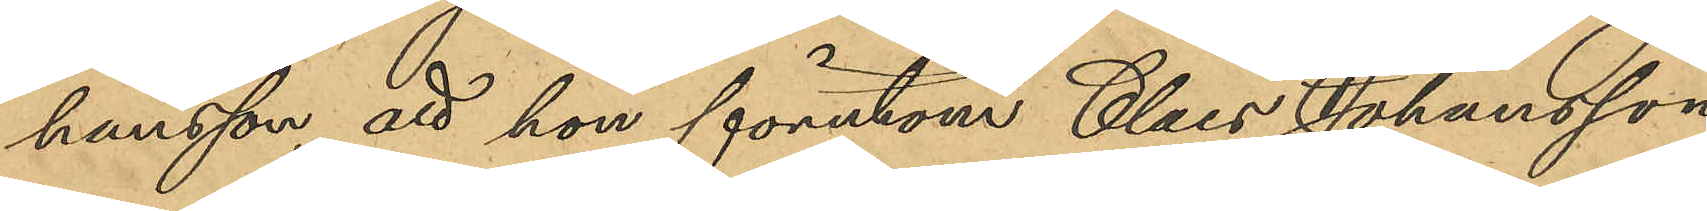hansson att hon förutom Claes Johansson
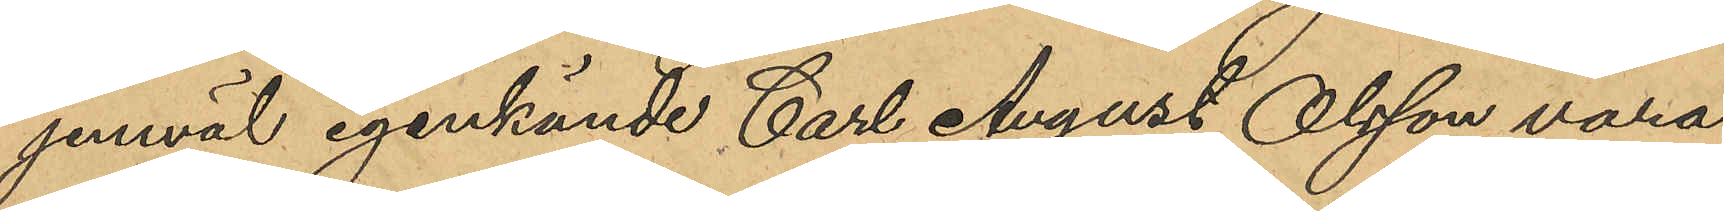jemväl igenkände Carl August Olsson vara
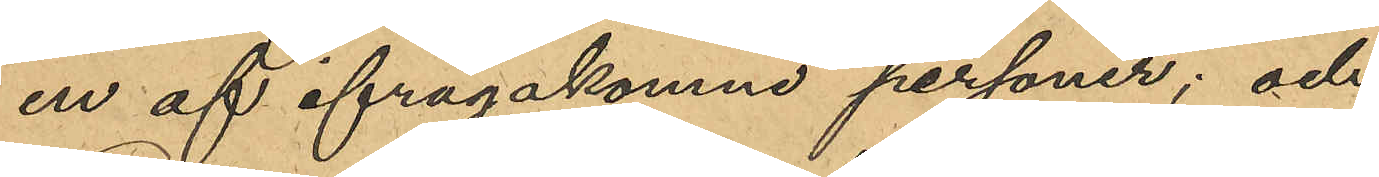en av ifrågakomne personer; och
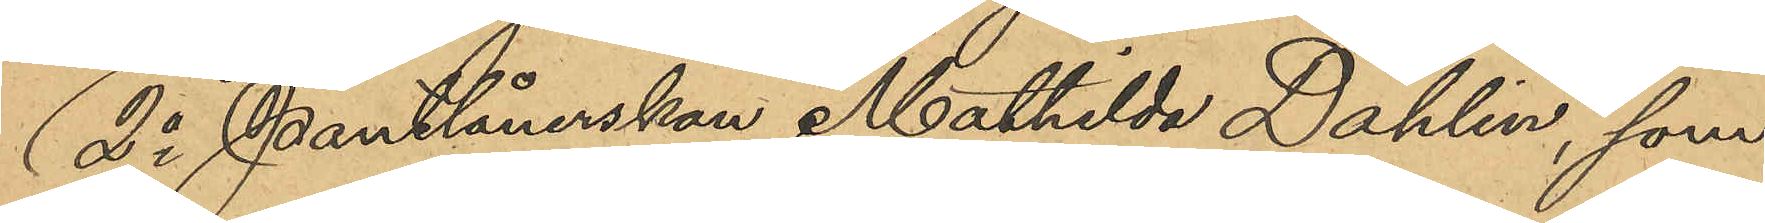2o Pantlånerskan Mathilda Dahlin, som
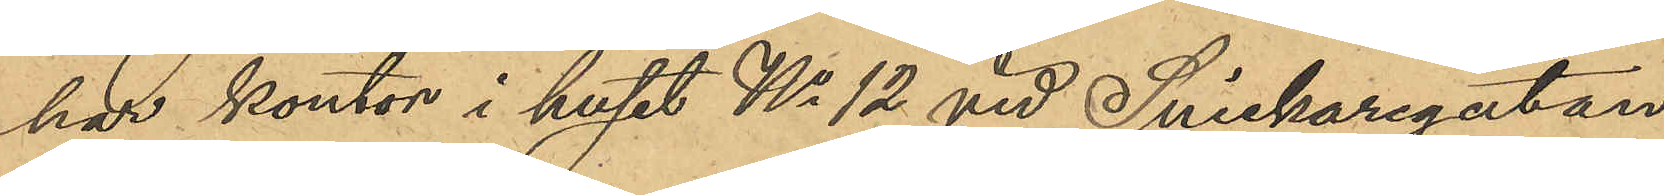har kontor i huset No 12 vid Snickaregatan
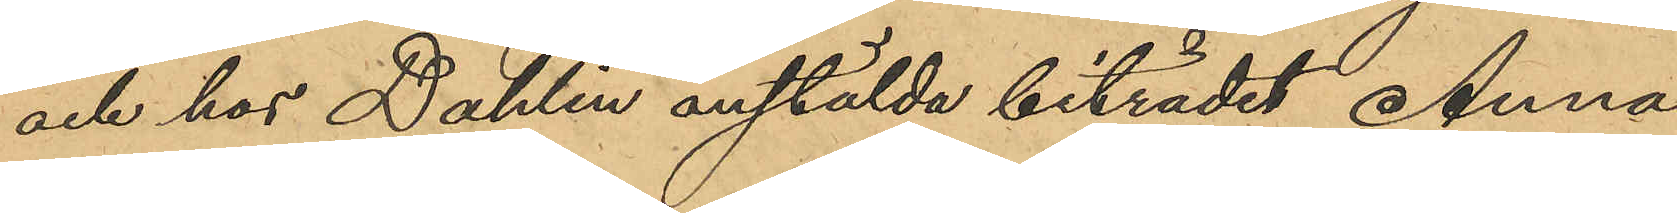och hos Dahlin anställda biträdet Anna
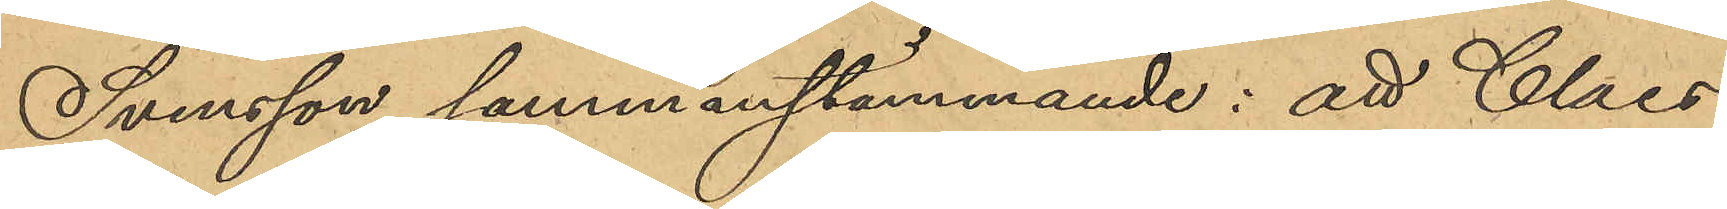Svensson sammanstämmande: att Claes
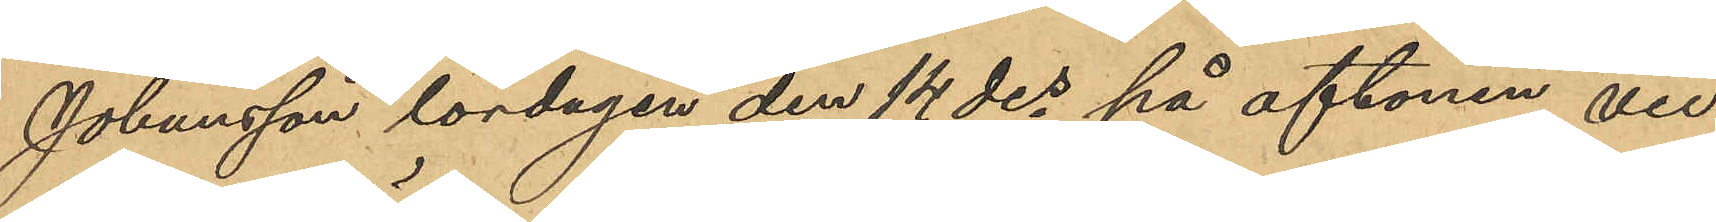Johansson lördagen den 14 des på aftonen, vid
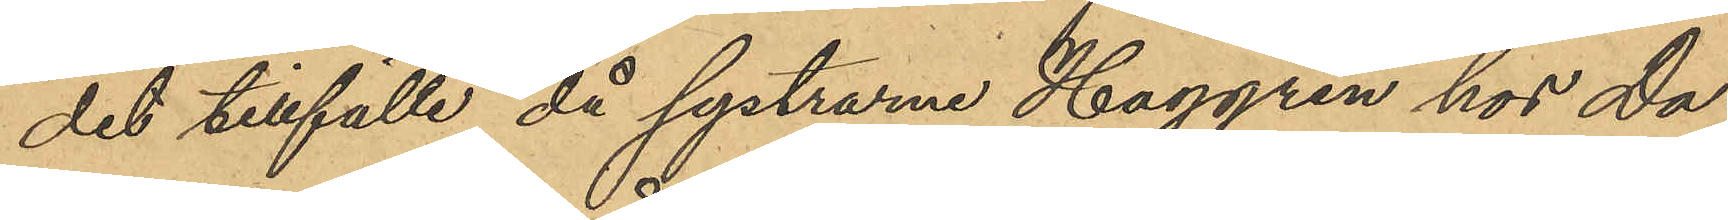det tillfälle då systrarna Haggren hos Dah¬
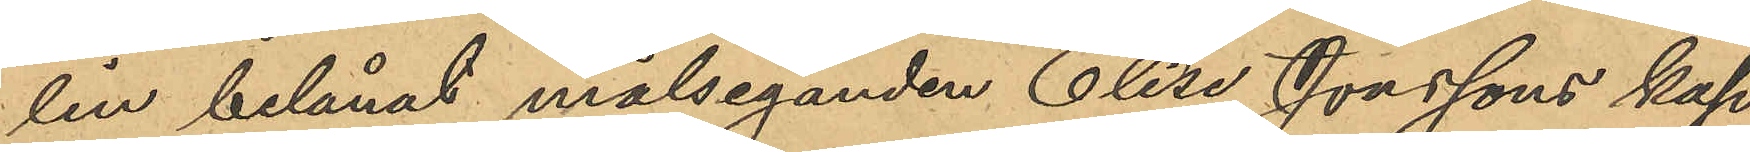lin belånat måleganden Elise Jonssons kap¬
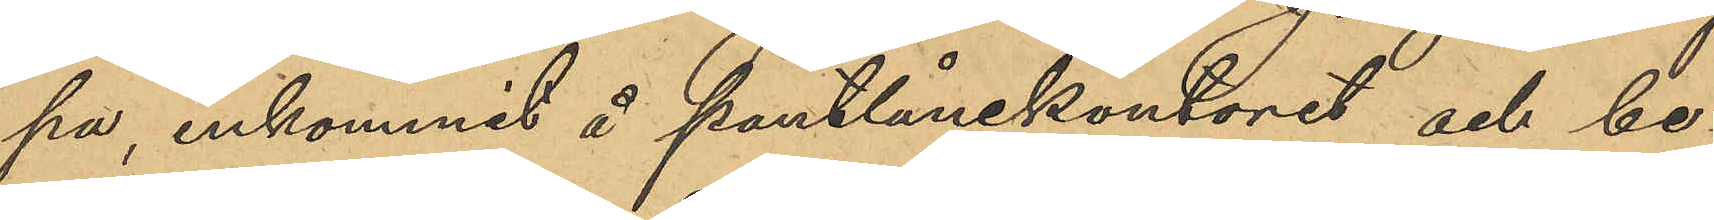pa, inkommit å pantlånekontoret och be¬
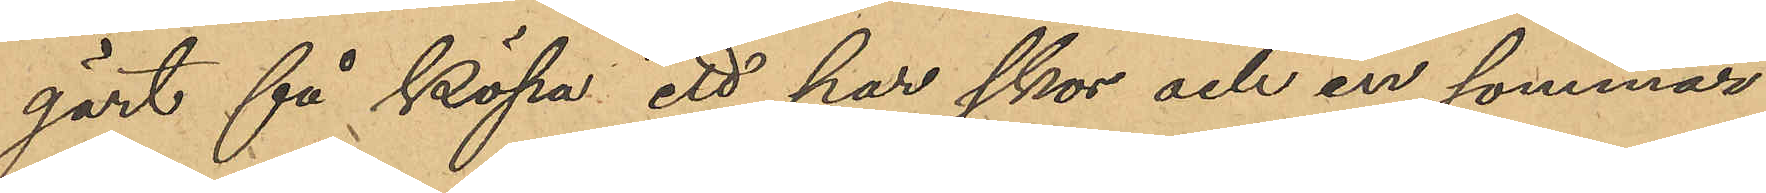gärt få köpa ett par skor och en sommar¬
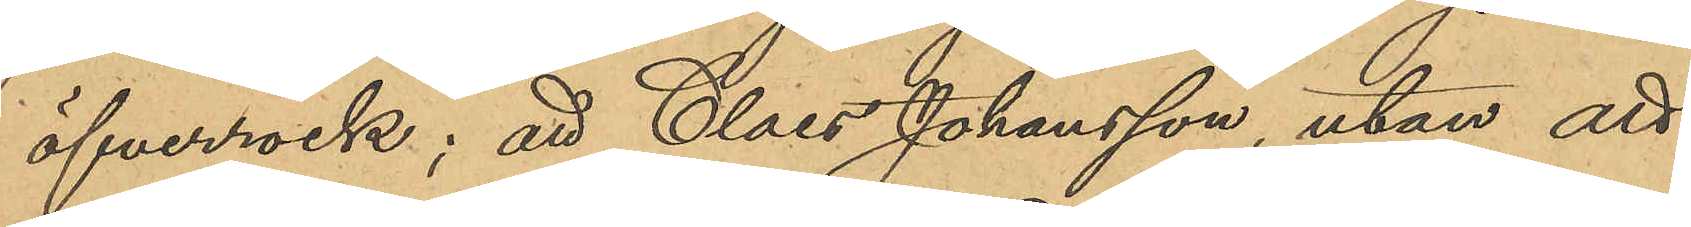öfverrock; att Claes Johansson, utan att
